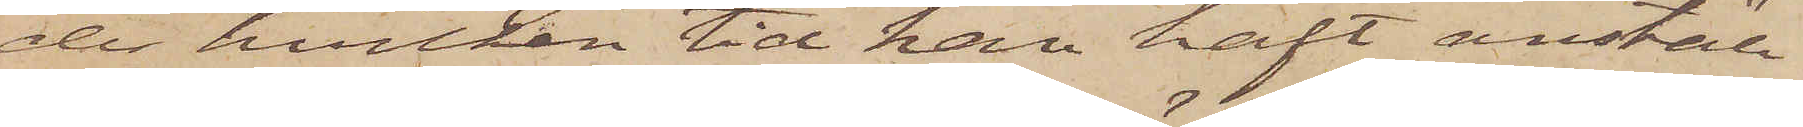der hvilken tid han haft anställ¬
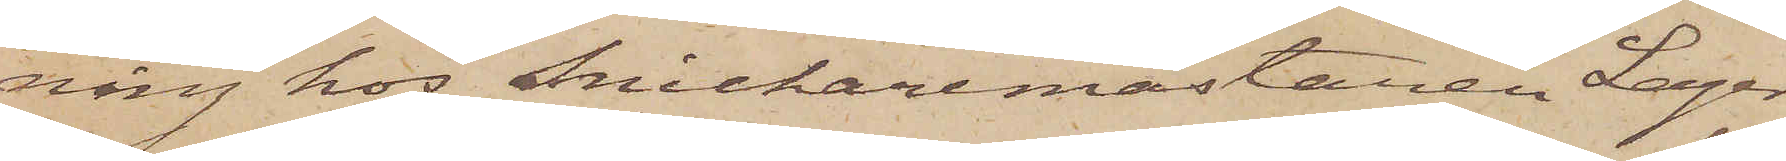ning hos Snickaremästaren Lager
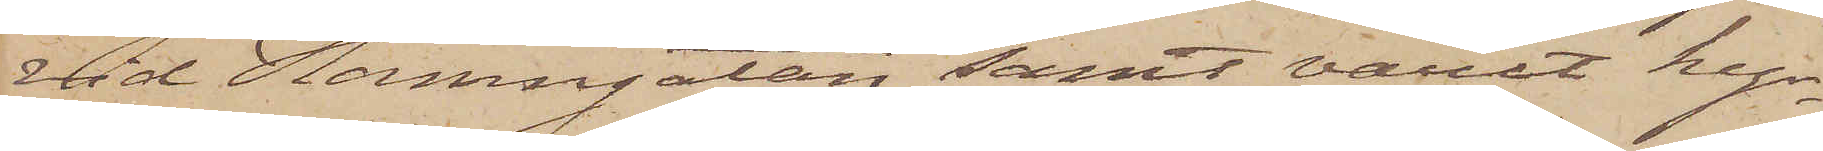vid Hamngatan samt varit kyr¬
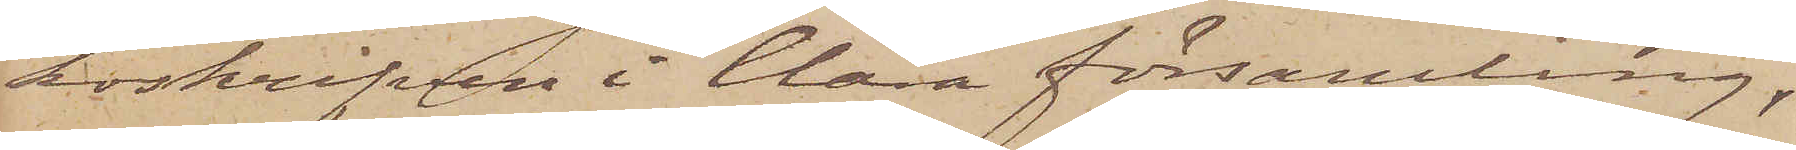koskrifven i Clara församling,
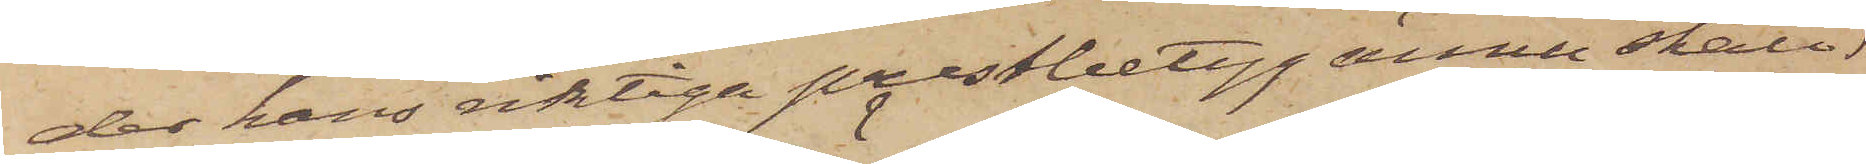der hans riktiga prestbetyg ännu skall
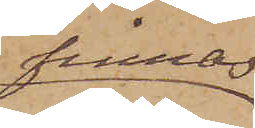finnas
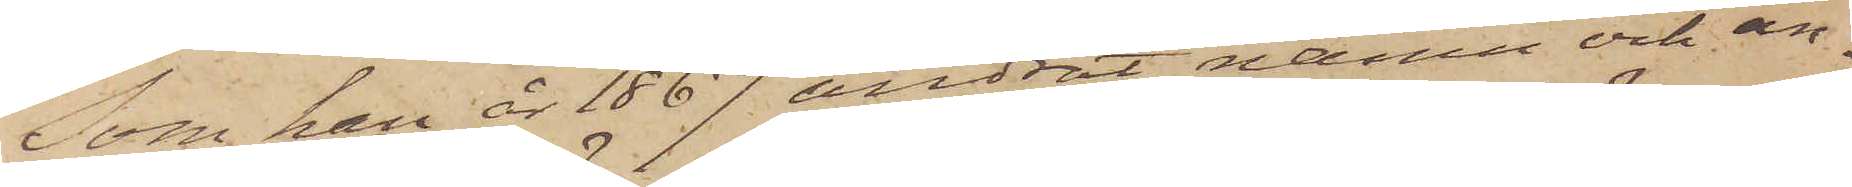Som han år 1867 ändrat namn och an¬
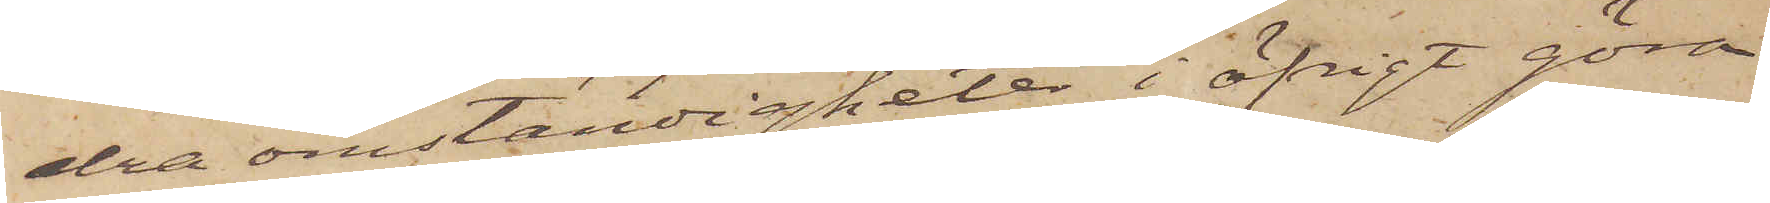dra omständigheter i öfrigt göra
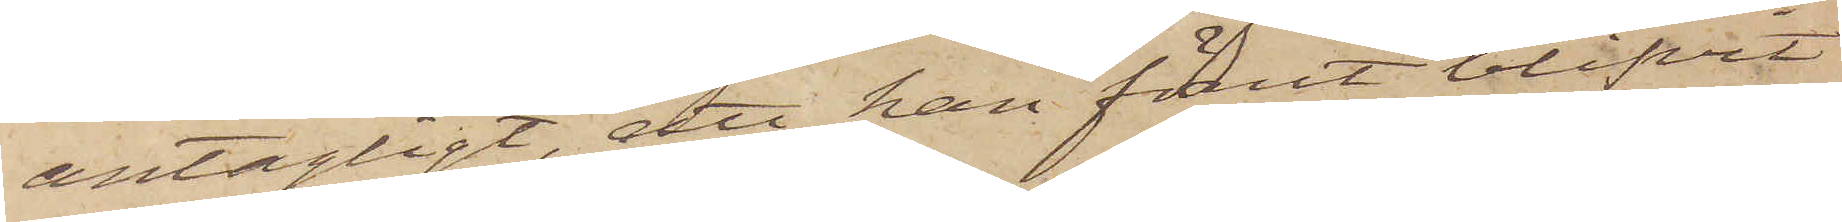antagligt, att han förut blifvit
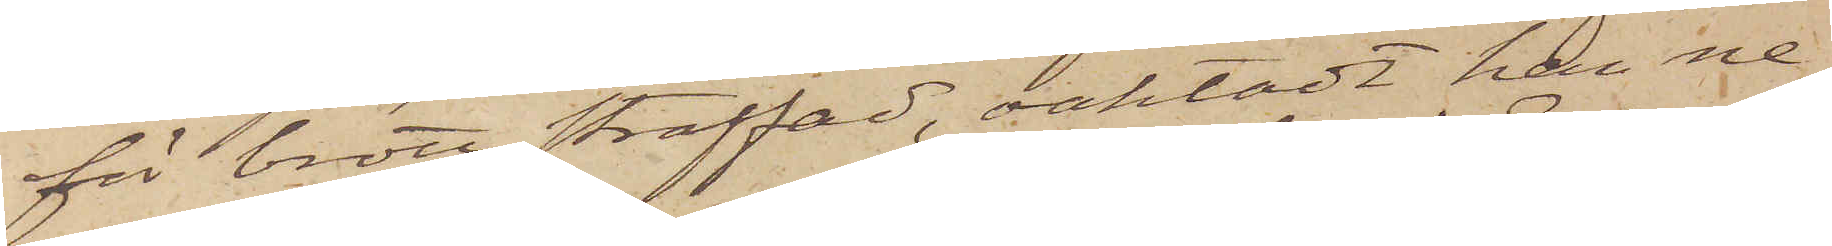för brott straffad, oaktadt han ne¬
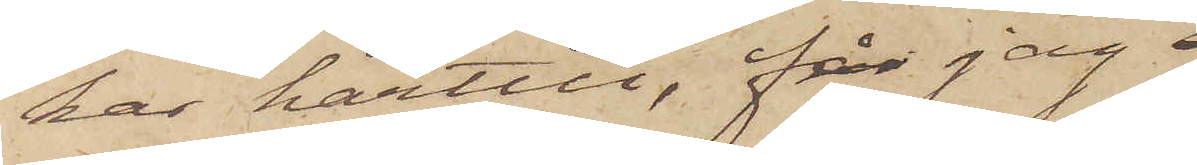kar härtill, får jag
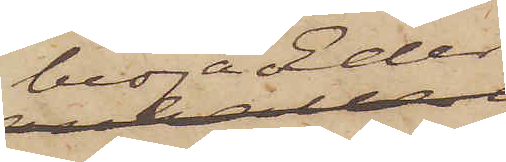bedja Eder
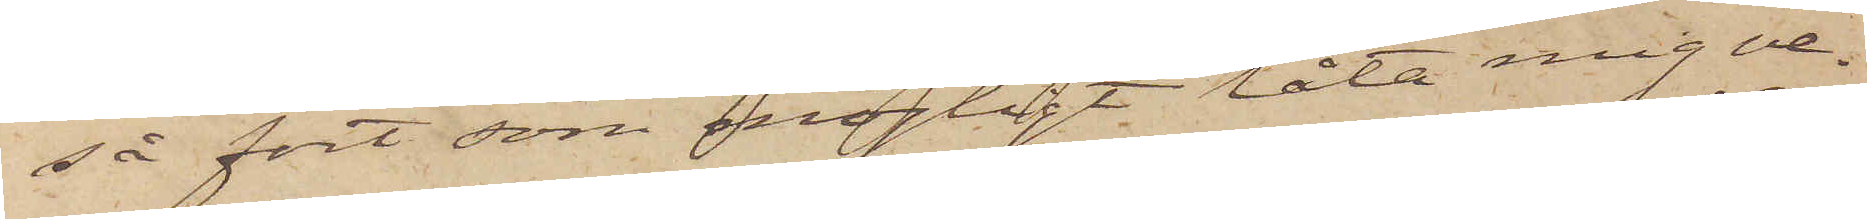så fort som möjligt låta mig ve¬
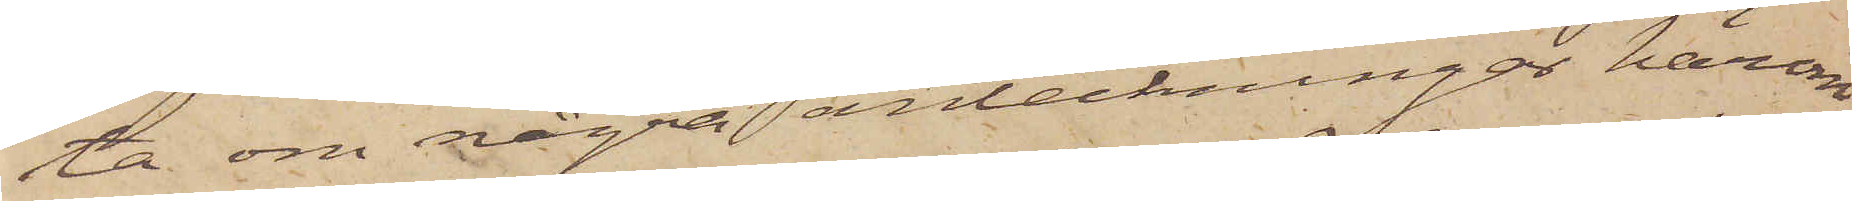ta om några anteckningar härom
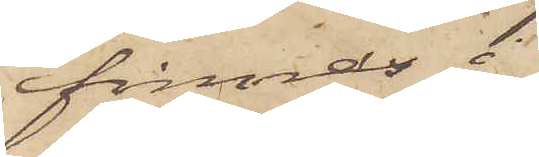finnas i
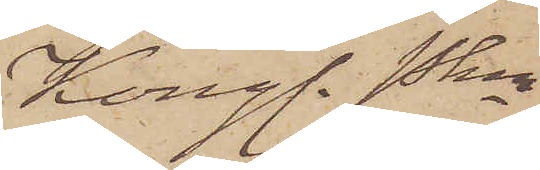Kongl. Pkn
